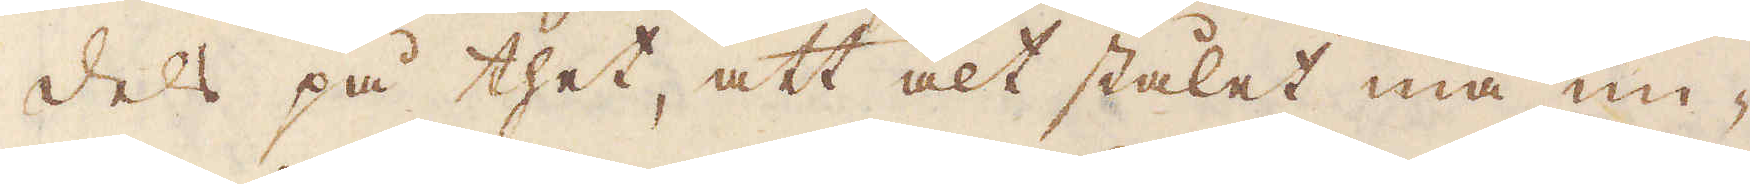dels på thet, att alt stålet må un-
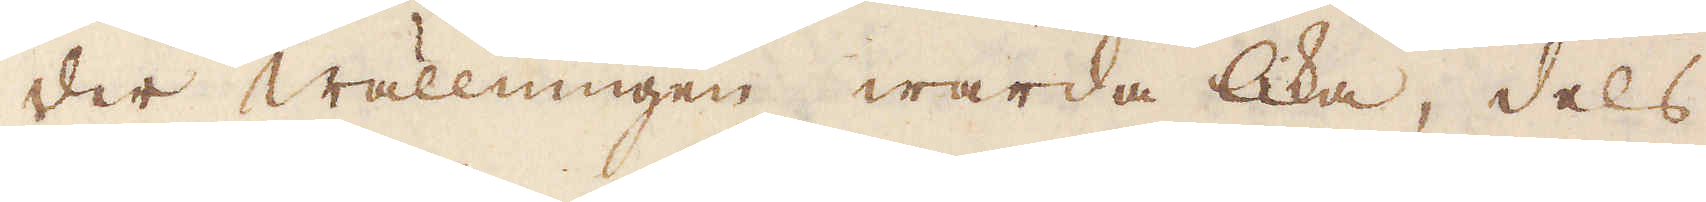der wällningen warda lika, dels
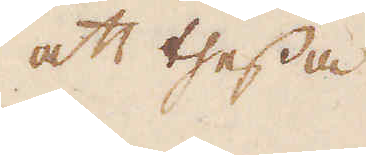att thessa
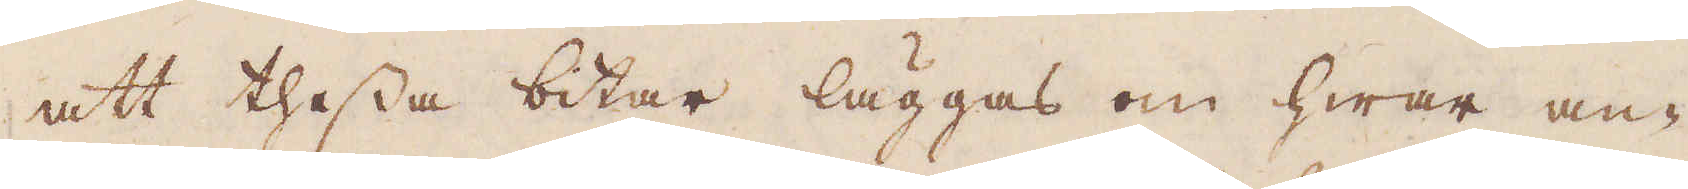att thessa bitar läggas om hwar an-
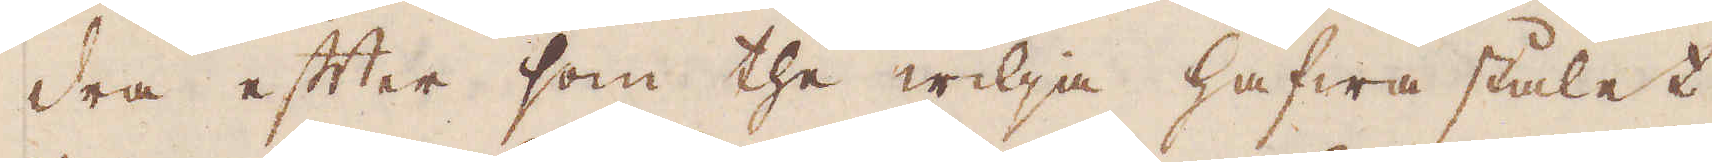dra efter som the wilja hafwa stålet
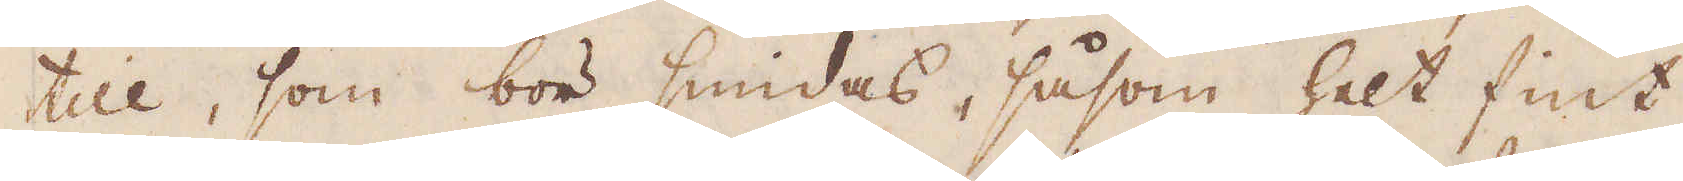till, som bör smidas, såsom helt fint,
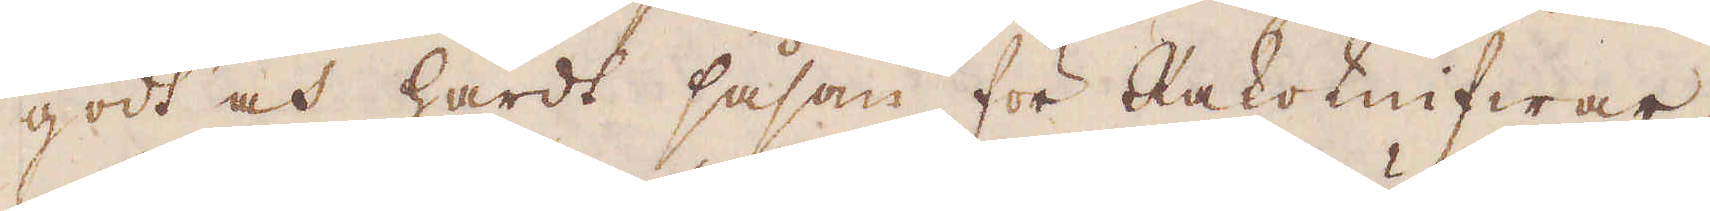godt och hårdt såsom för Rakeknifwar,
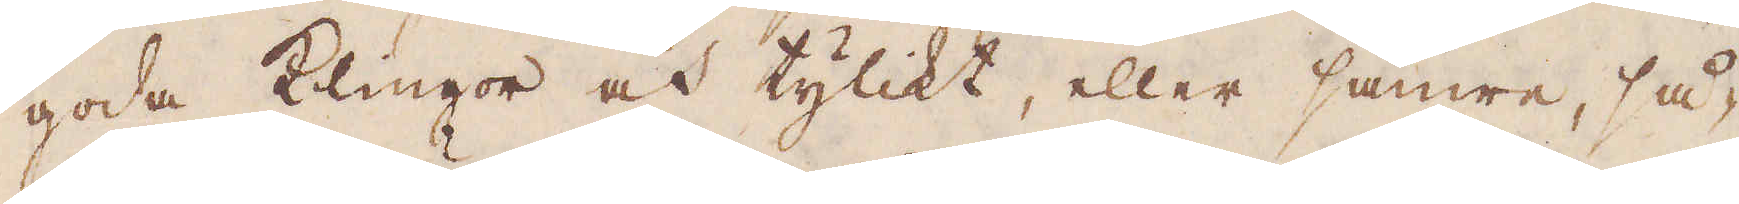goda Klingor och tylikt, eller sämre, så
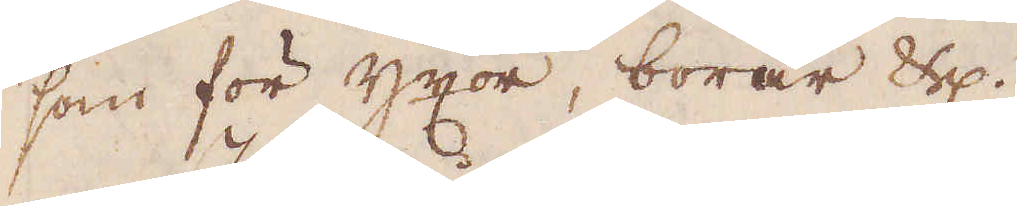som för yxor, borar etc.
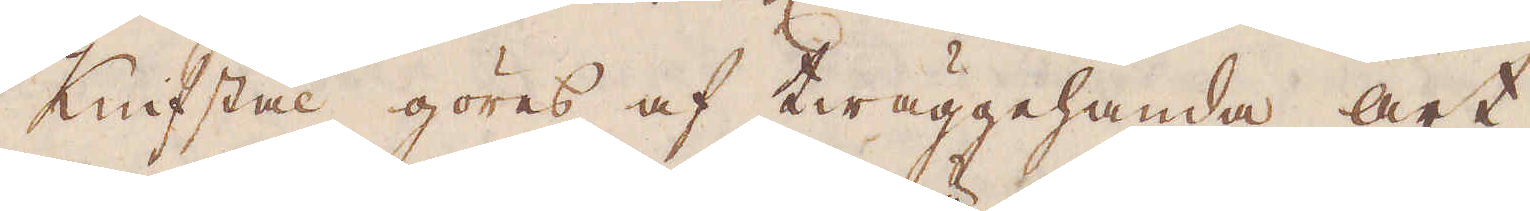Knifstål göres af twäggehanda art,
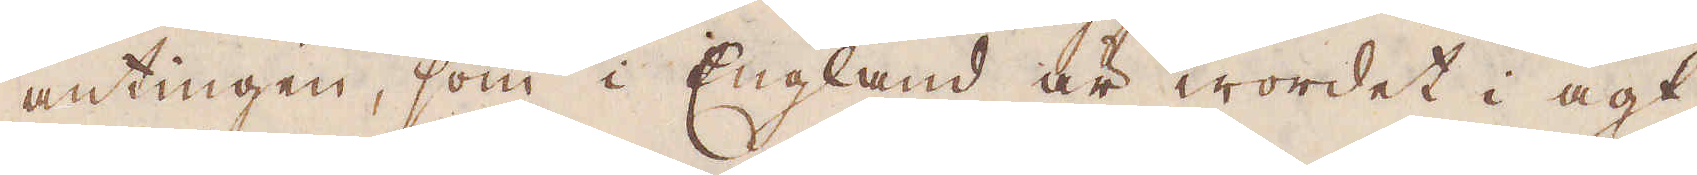antingen, som i England är wordet i agt
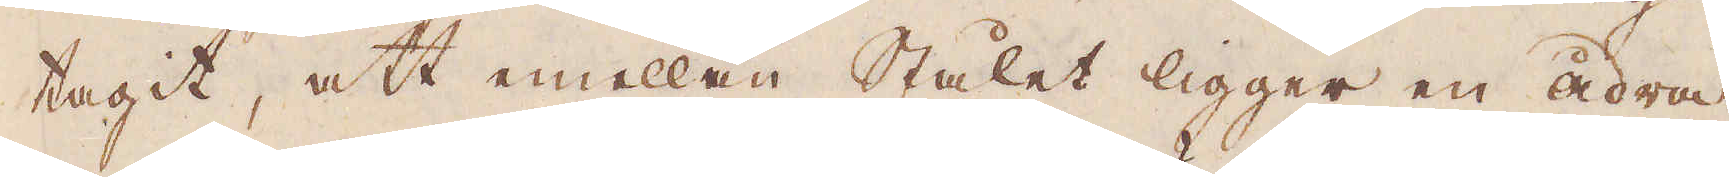tagit, att emellan Stålet ligger en ådra
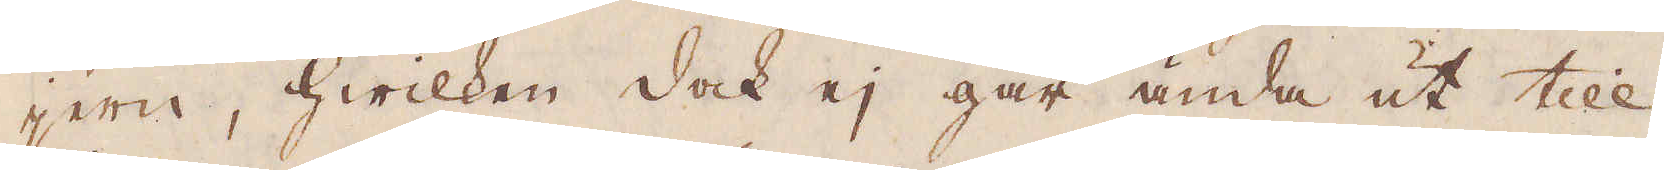jern, hwilken dock ej går ända ut till
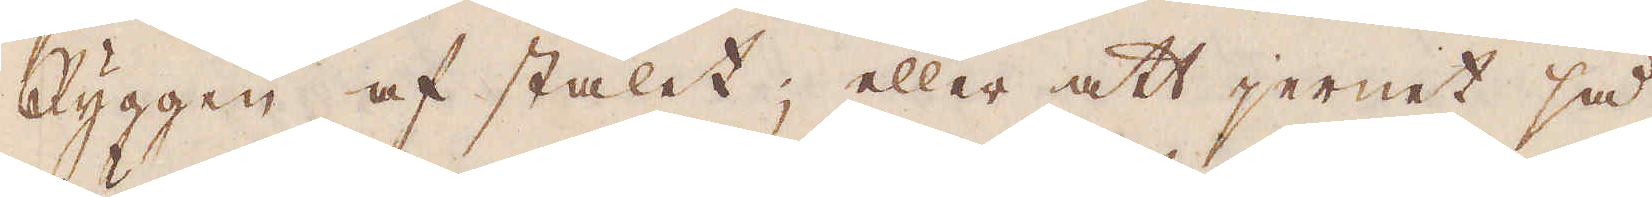Ryggen af stålet; eller att jernet så
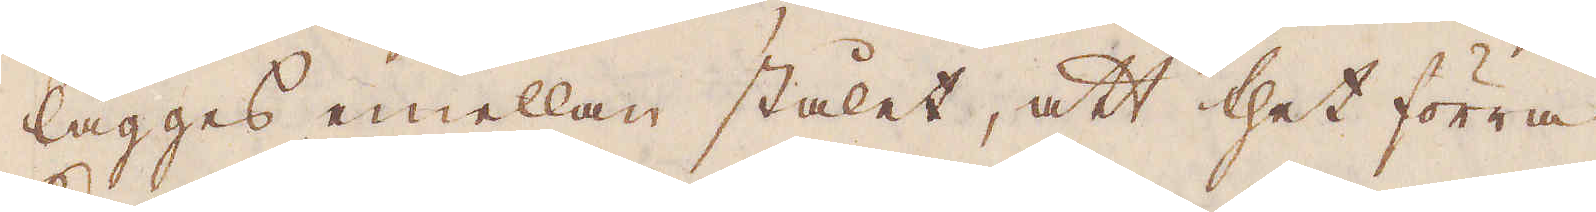lägges emellan stålet, att thet förra
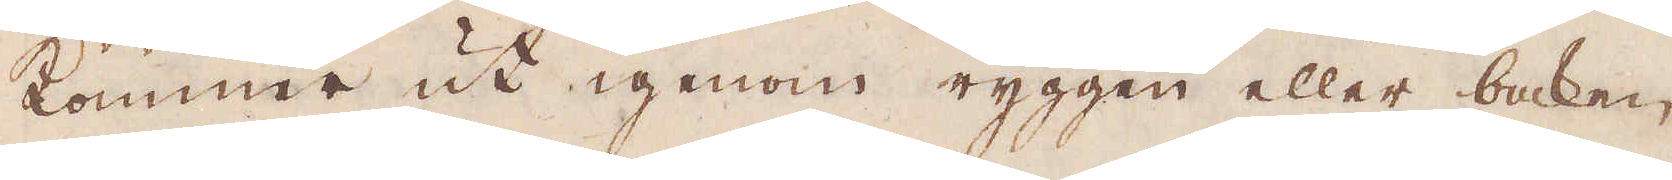kommer ut igenom ryggen eller baken,
